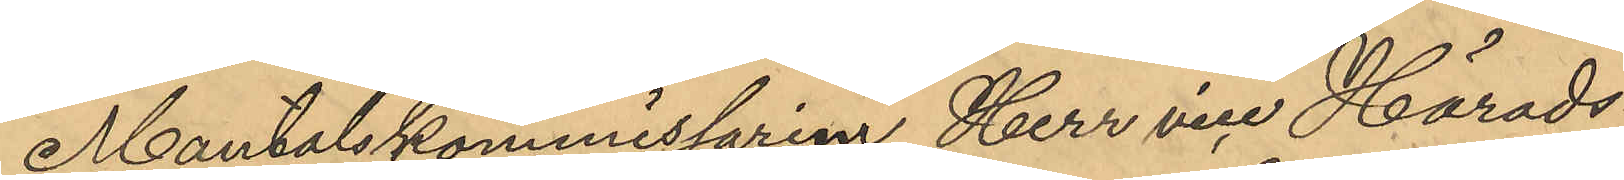Mantalskommissarien, Herr vice Härads¬
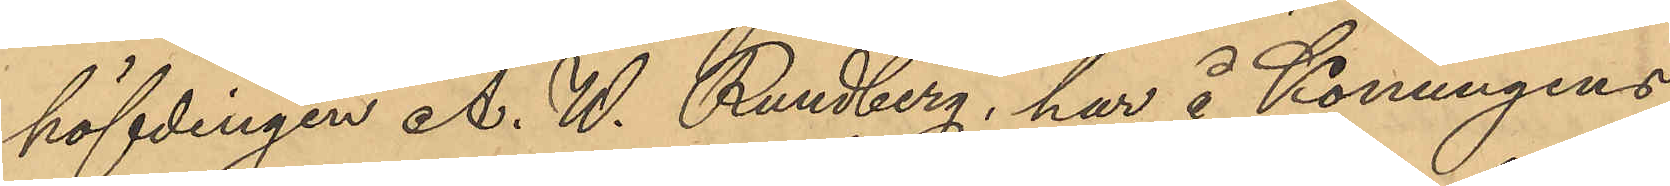höfdingen A. W. Rundberg, har å Konungens
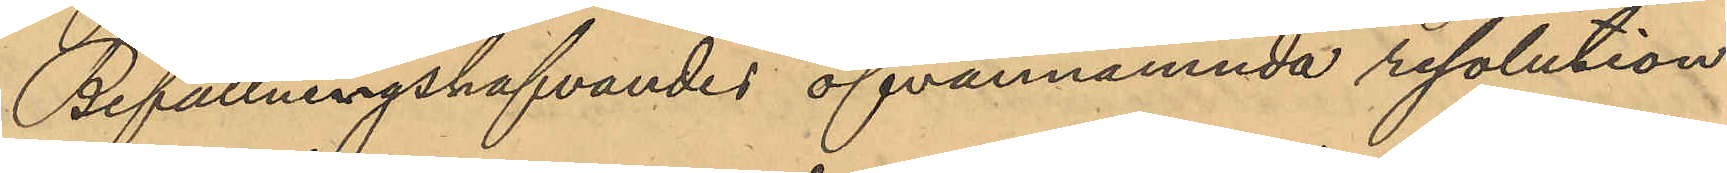Befallningshafvandes ofvannämnda resolution
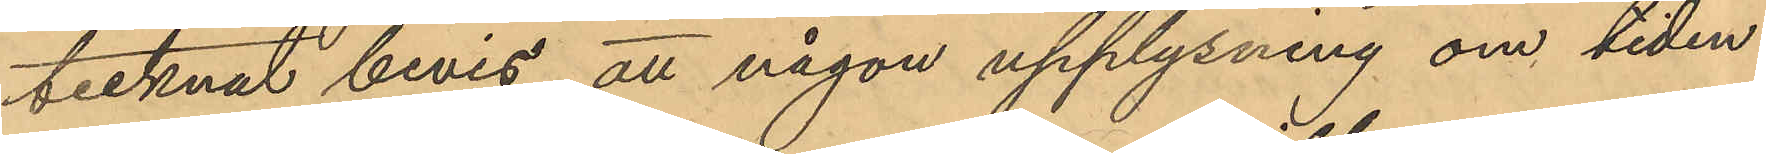tecknat bevis att någon upplysning om tiden
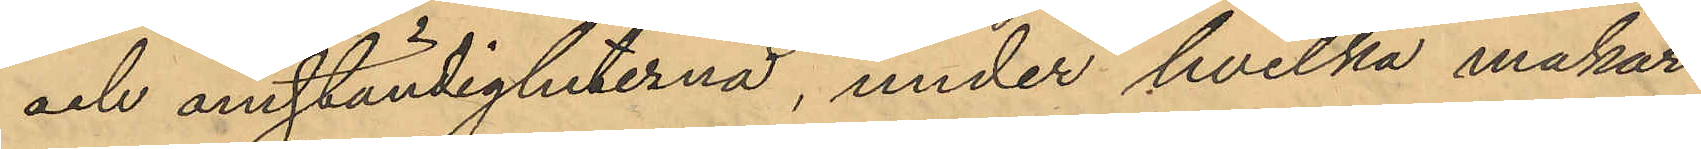och omständigheterna, under hvilka makar¬
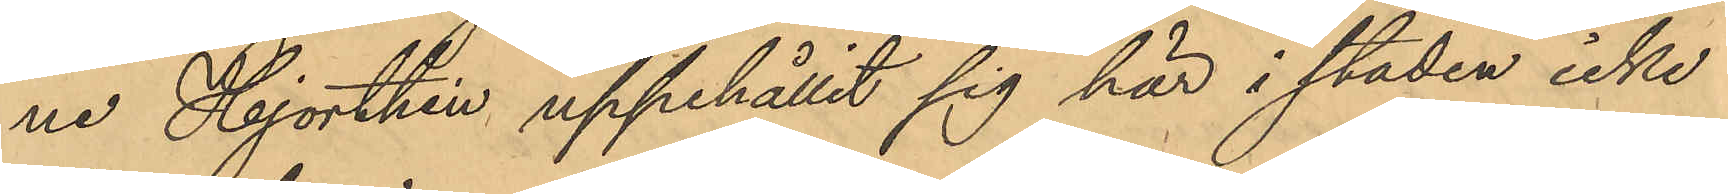ne Hjorthén uppehållit sig här i staden icke
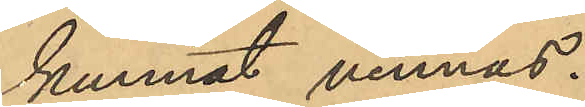kunnat vinnas.
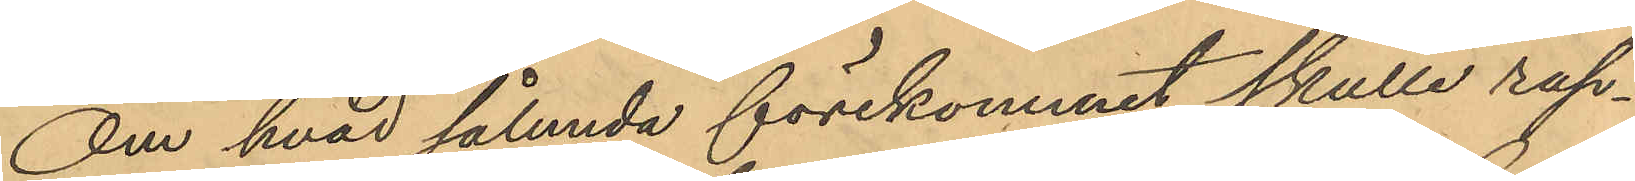Om hvad sålunda förekommit skulle rap¬
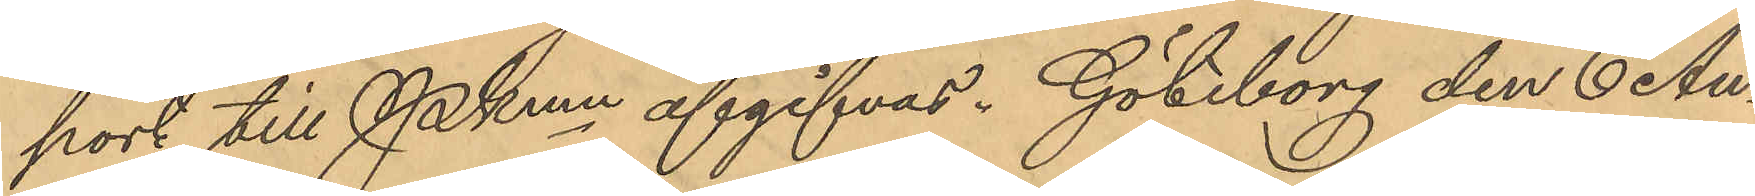port till Pkmn afgifvas. Göteborg den 6 Au¬
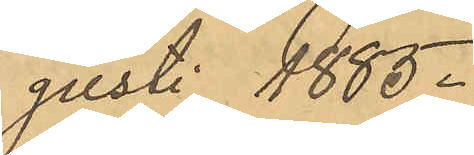gusti 1885.
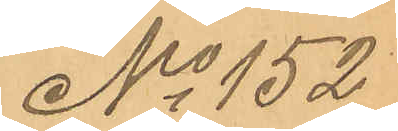No 152
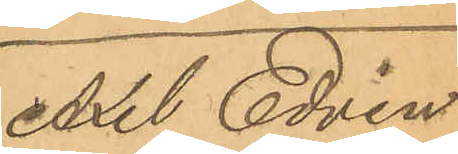Axel Edvin
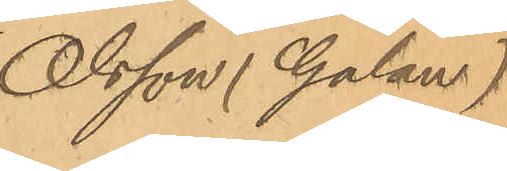Olsson (Galan)
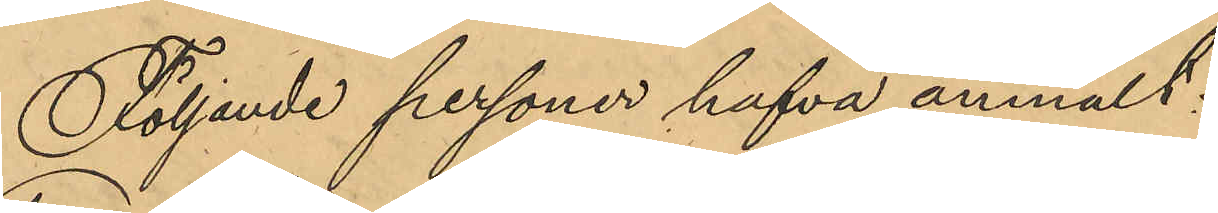Följande personer hafva anmält:
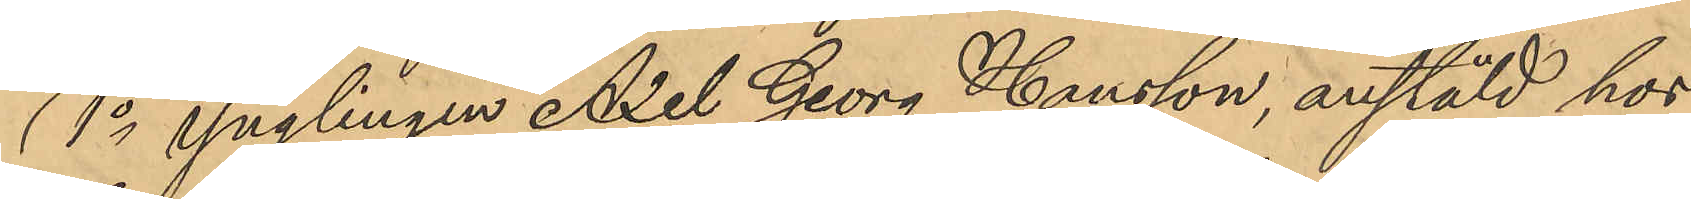1o ynglingen Axel Georg Hansson, anstäld hos
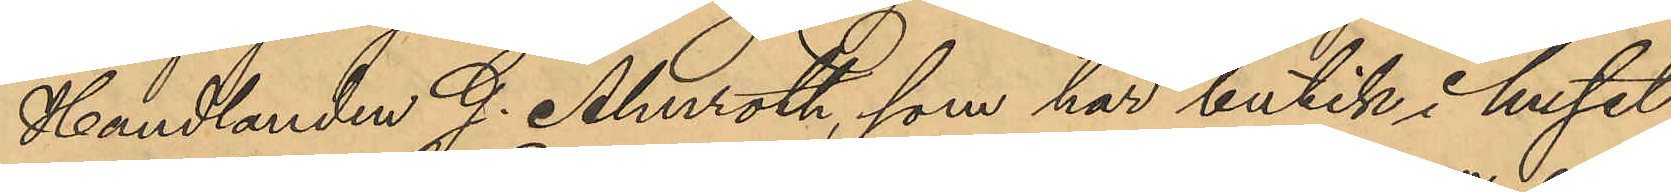Handlanden G. Almroth, som har butik i huset
